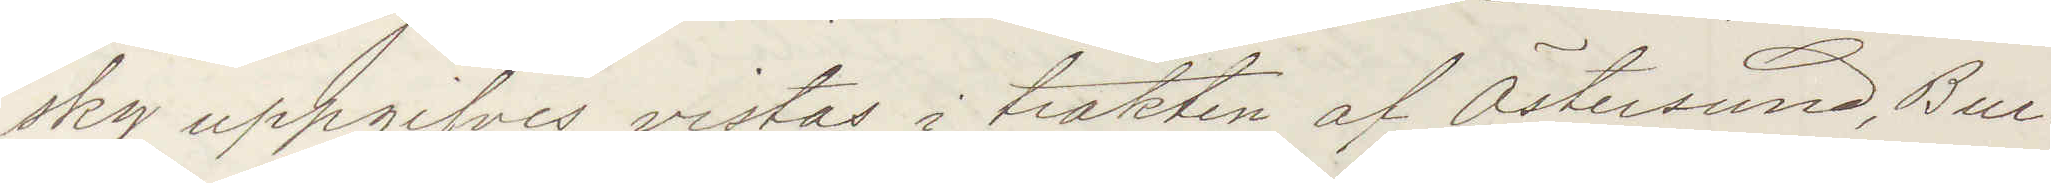sky uppgifves vistas i trakten af Östersund, Bur¬
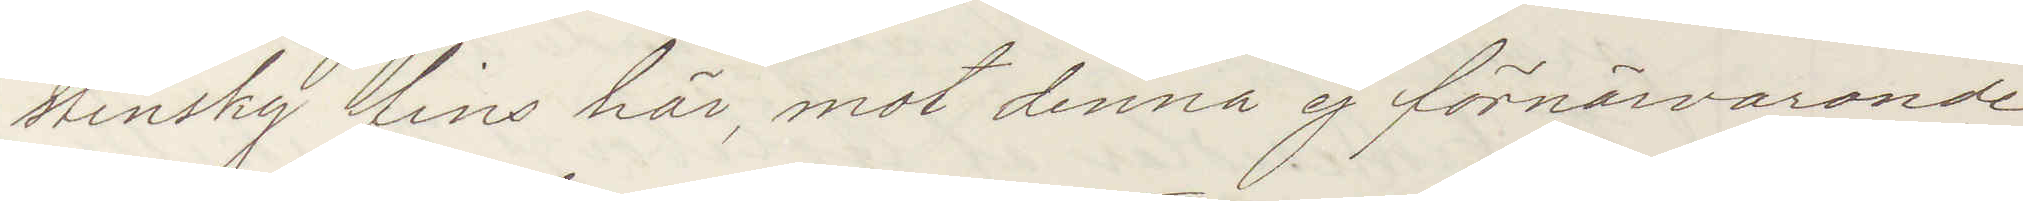stinsky fins här, mot denna ej förnärvarande
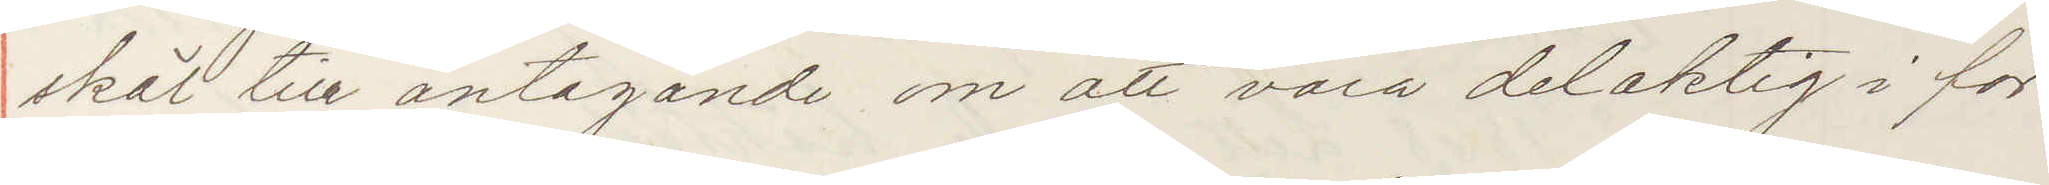skäl till antagande om att vara delaktig i för¬
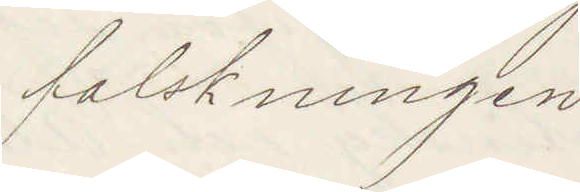falskningen
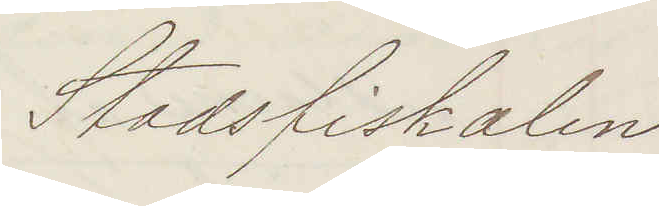Stadsfiskalen
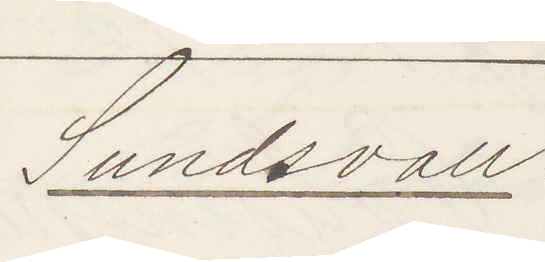Sundsvall:
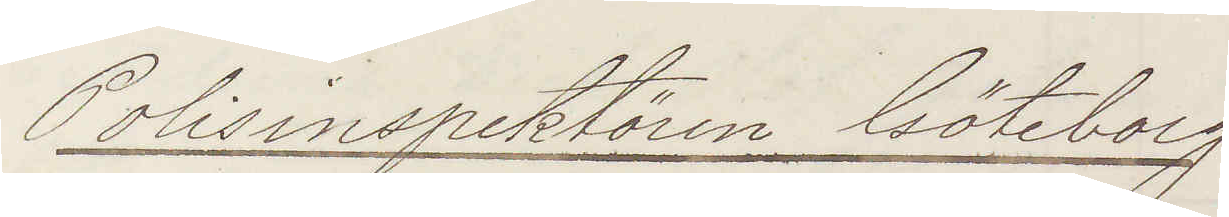Polisinspektören Göteborg
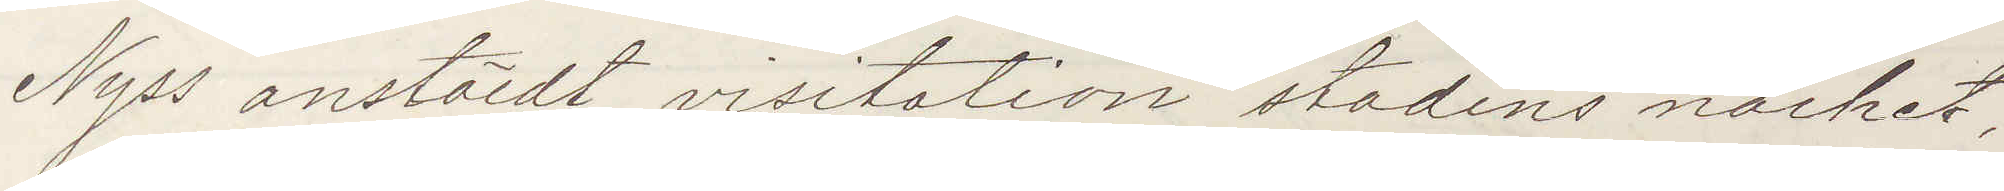Nyss anstäldt visitation stadens närhet,
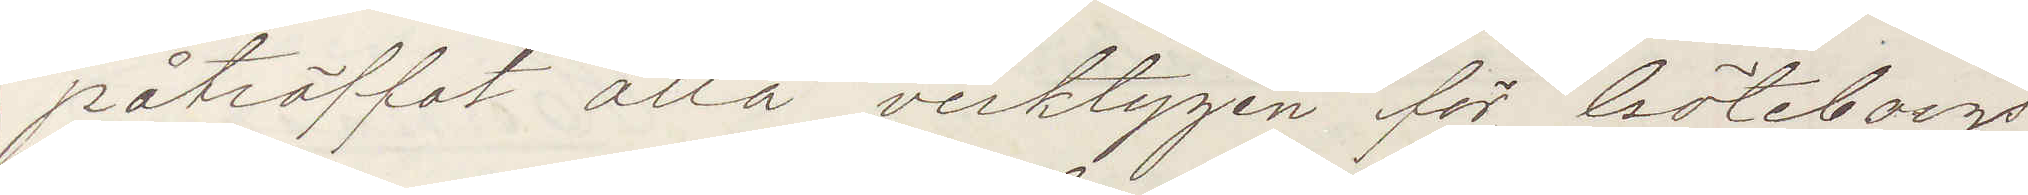påträffat alla verktygen för Göteborgs
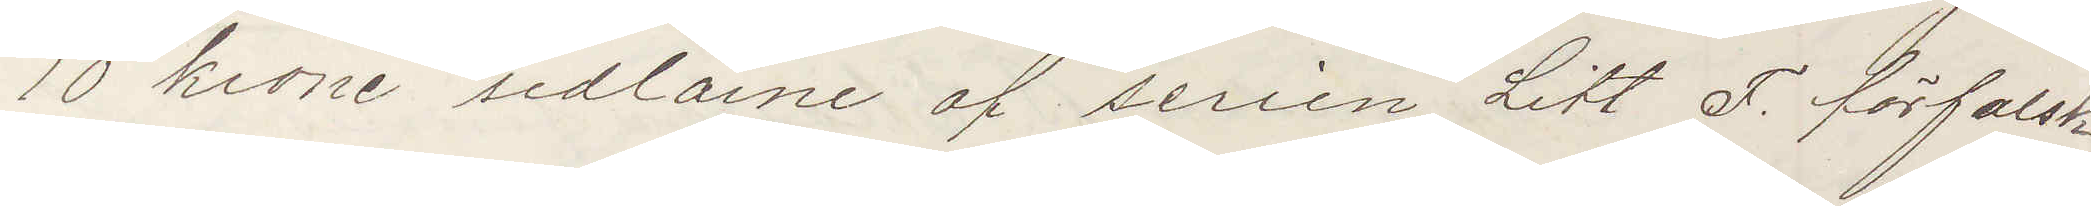10 krone sedlarne af serien Litt F. förfalsk¬
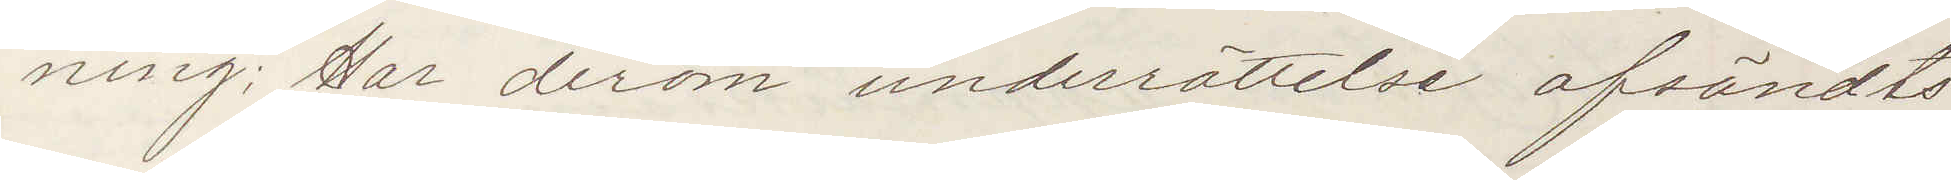ning; Har derom underrättelse afsändts
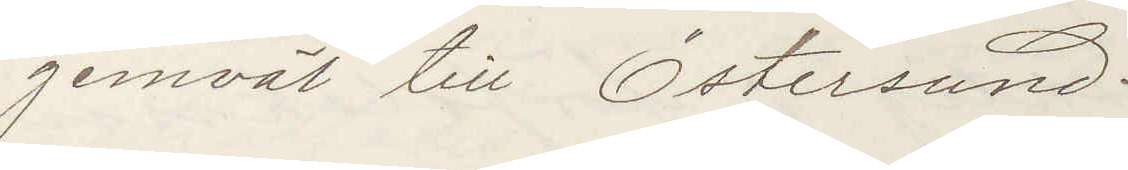jemväl till Östersund:
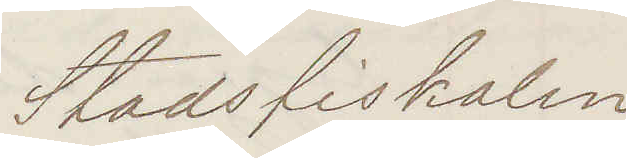Stadsfiskalen
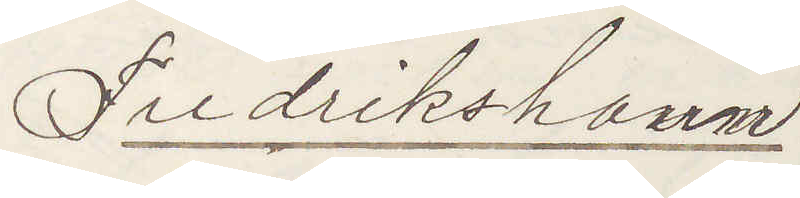Fredrikshavn:
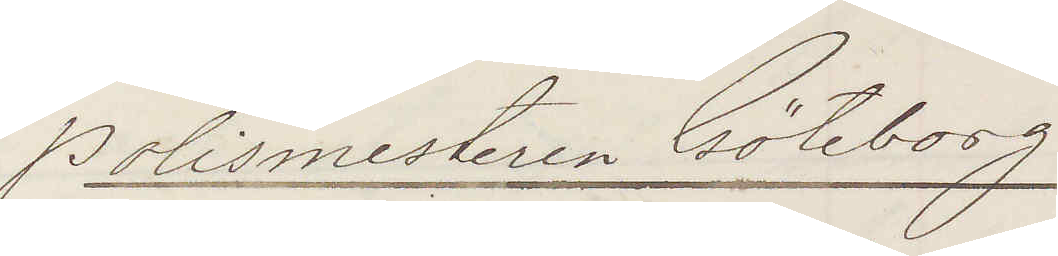Polismesteren Göteborg
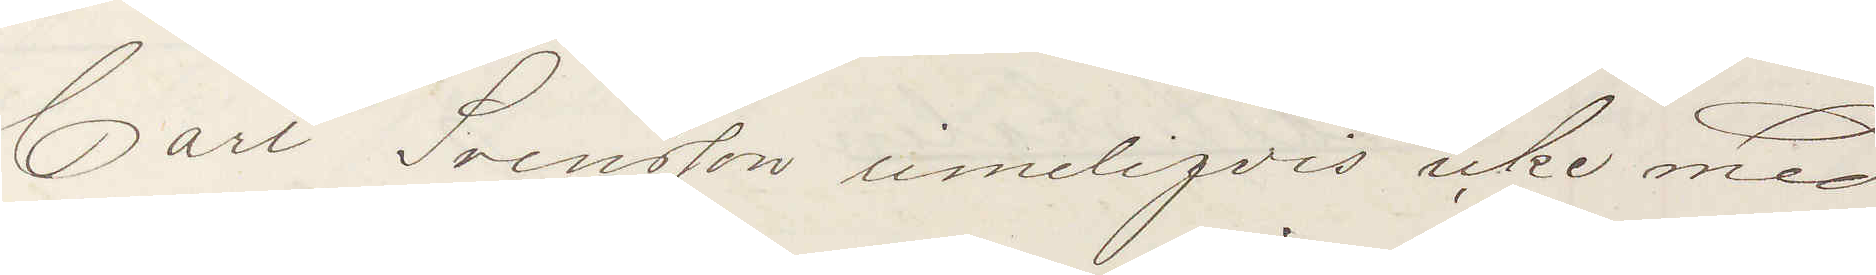Carl Svensson rimeligvis icke med
